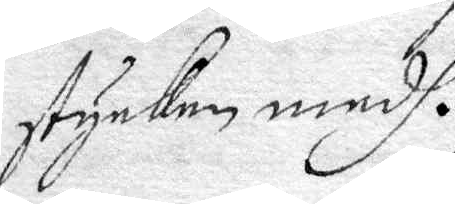stycken medh.
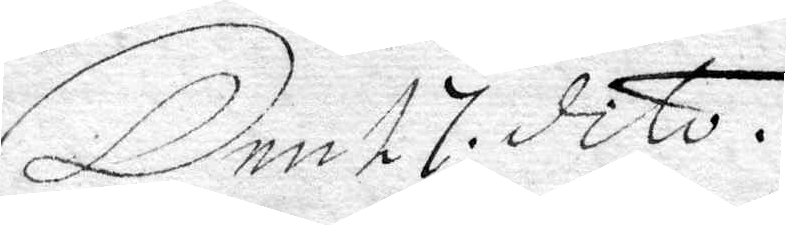Den 17 dito.
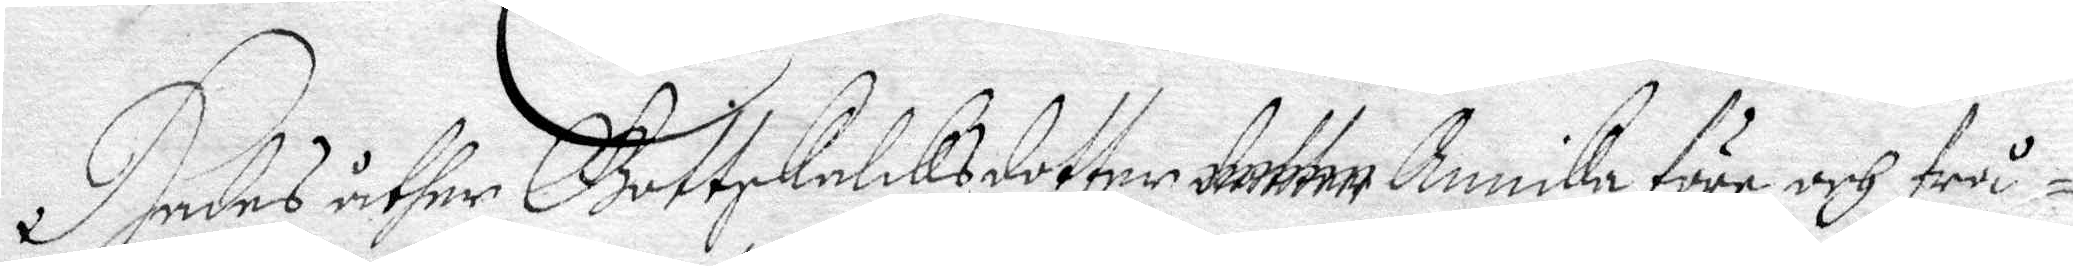Hades åther Gottskalcksdotter detter Annika före och frå¬
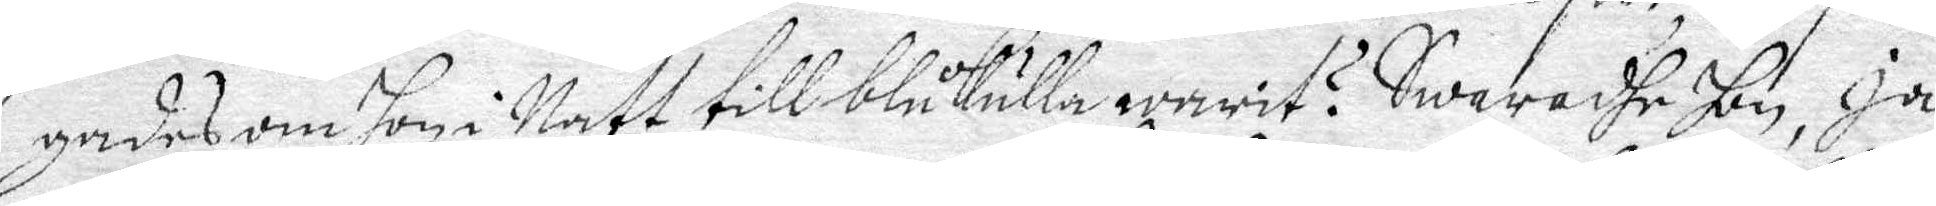gades om hon i Natt till blåkulla warit? Swaradhe hon, Ja,
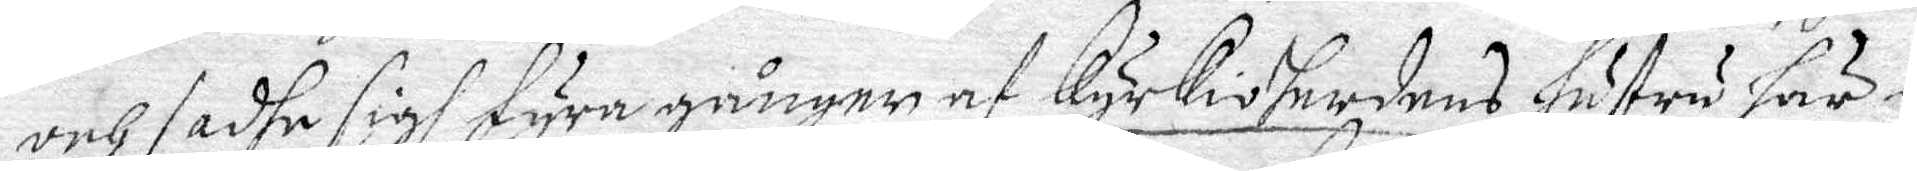och sadhe sigh fyra gånger af Kyrkioherdens hustru här i
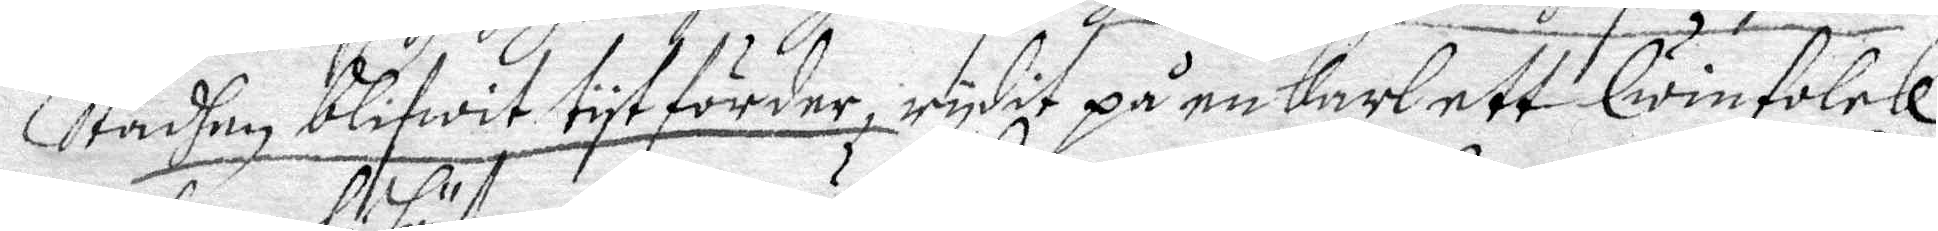Stadhen blifwit tyt förder, rydit på en Karl, ett Qwinfolck,
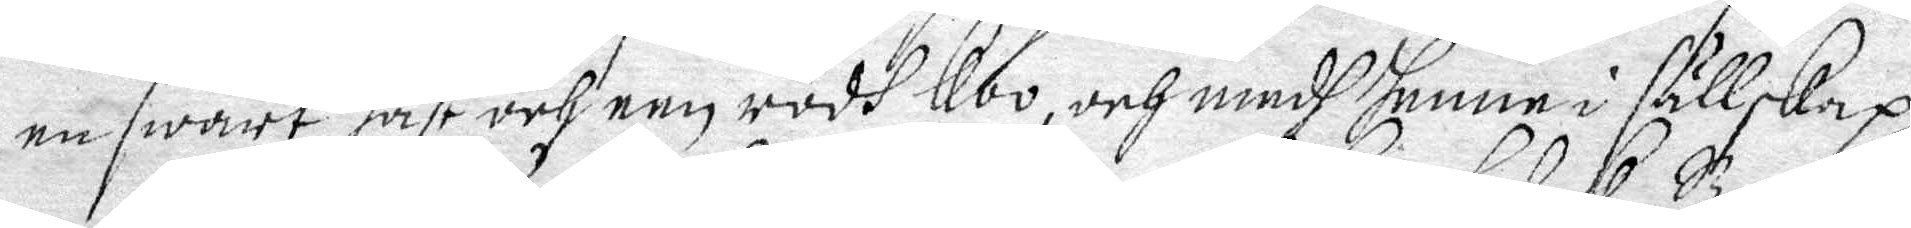en swart häst och een rödh Koo, och medh henne i sällskap
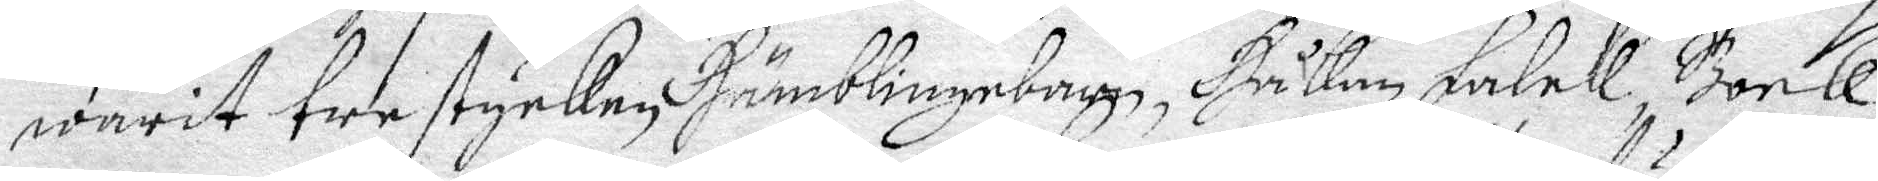warit  tre stycken Humblingebarn, Håkan Falck, Bock¬
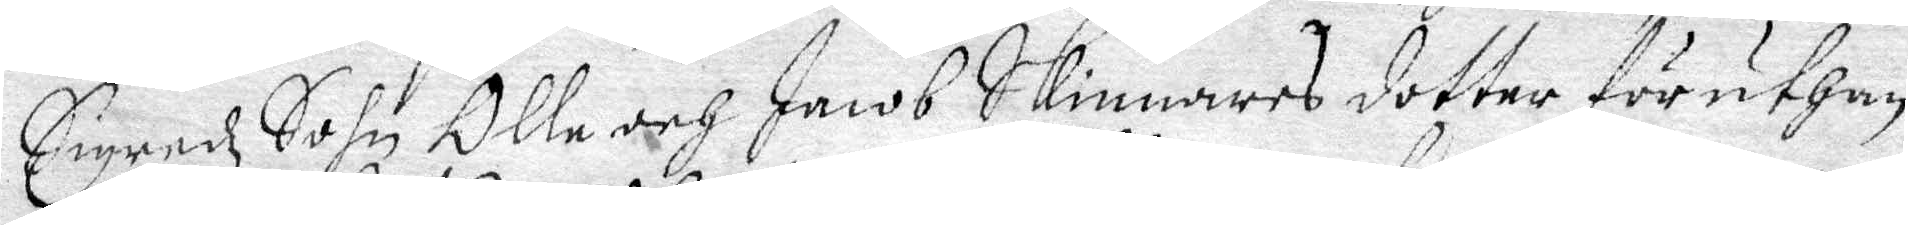Sigredz Sohn Olle och Jacob Skinnares dotter föruthan
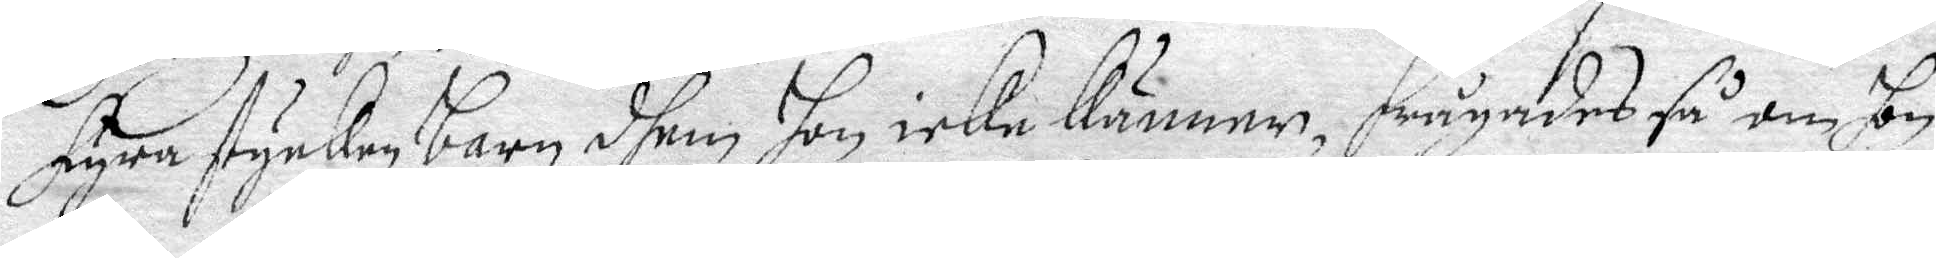fyra stycken barn dhem hon icke känner, frågades så om hon
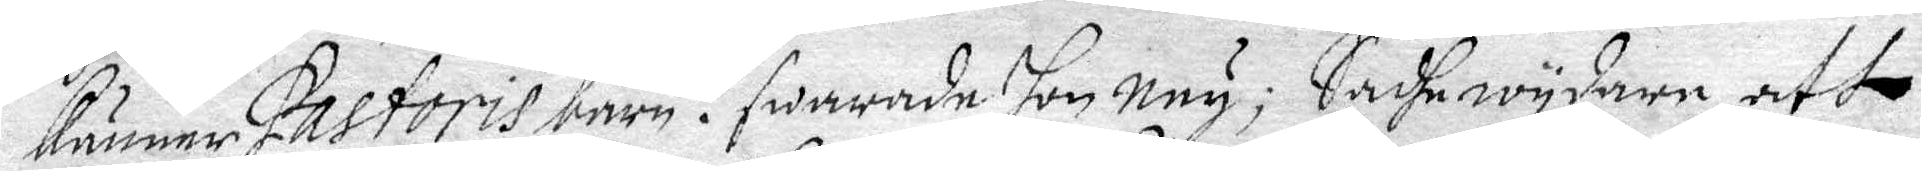känner Pastoris barn? swarade hon Ney; Sadhe wydare att
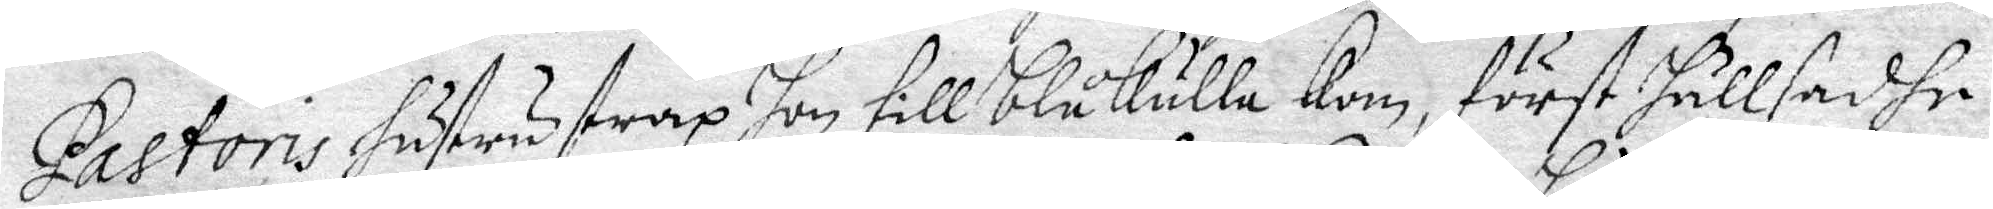Pastoris hustru strax hon till Blåkulla Kom, först hällsadhe
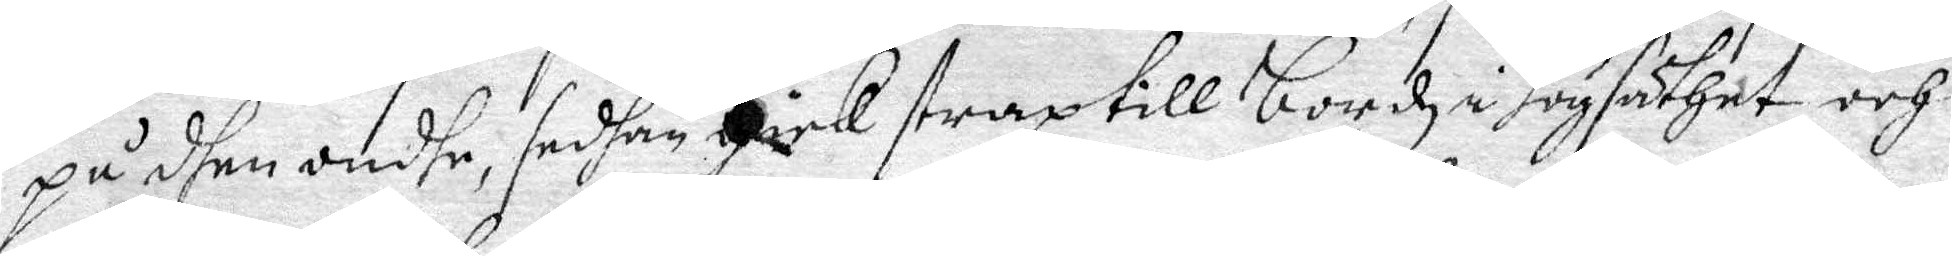på dhen ondhe, sedhan gick strax till bordz i högsäthet och
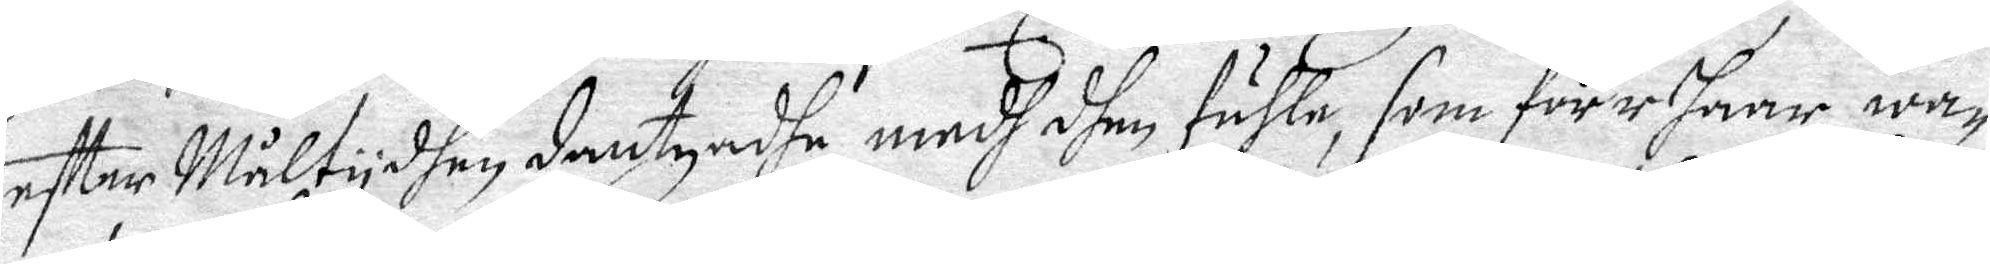efter Måltydhen dantzadhe medh dhen fuhle, som förr haar wa¬
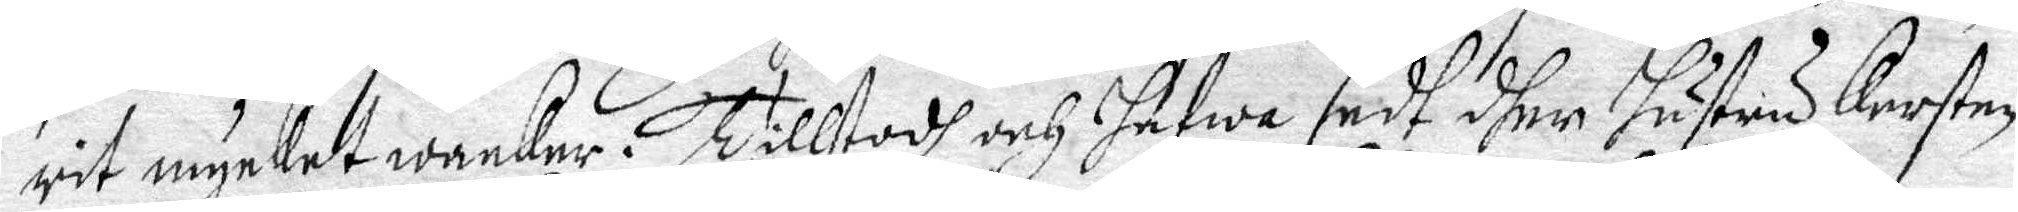rit mycket wacker. Tilltodh och hafwa sedh dher hustru Kersten
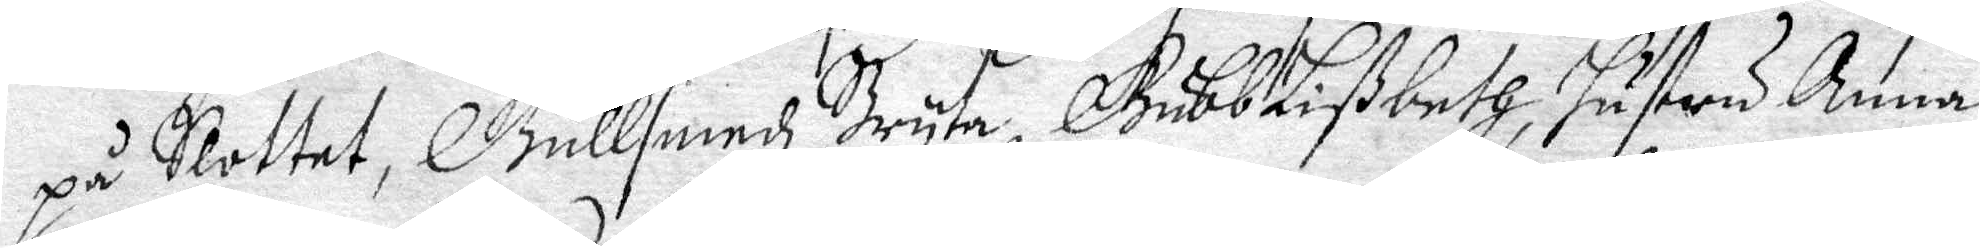på Slottet, Gullsmedz Bry,te GubbLißbeth, hustru Anna
